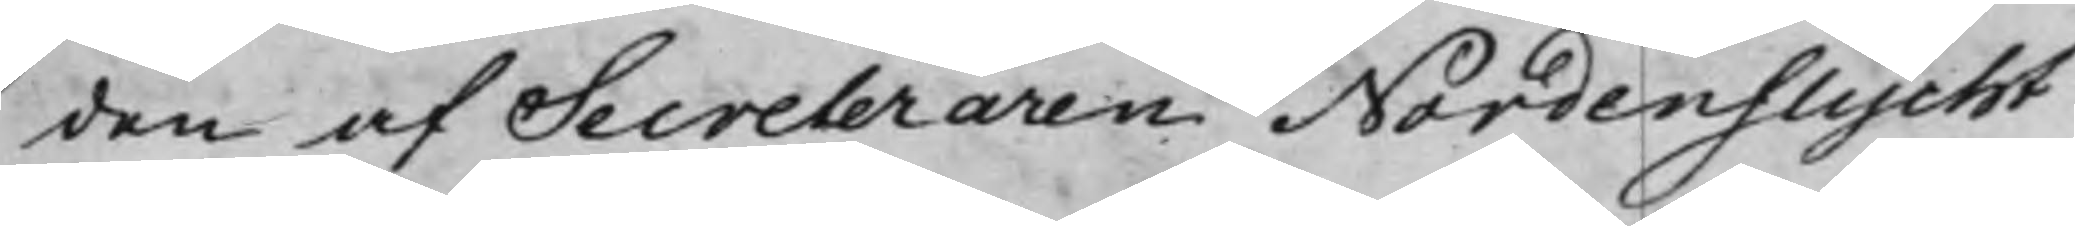den af Secreteraren Nordenflycht
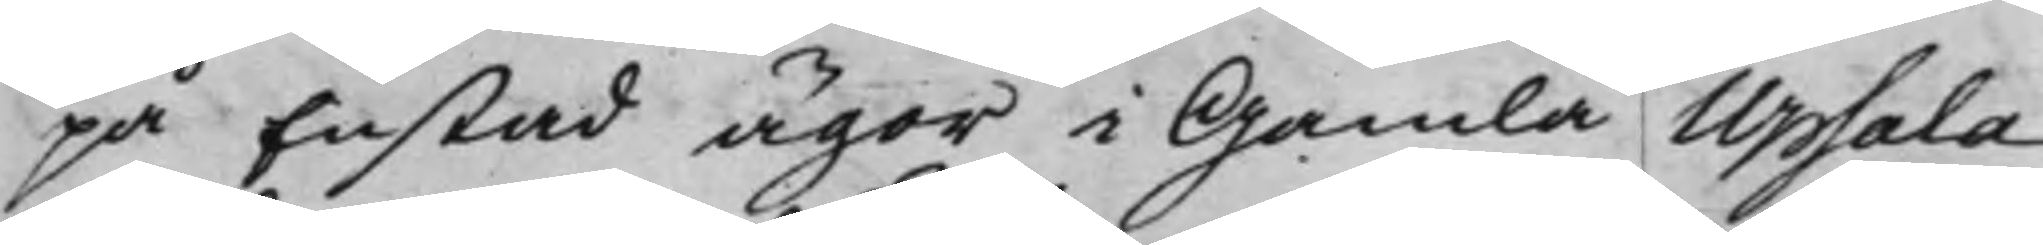på Enstad ägor i Gamla Upsala
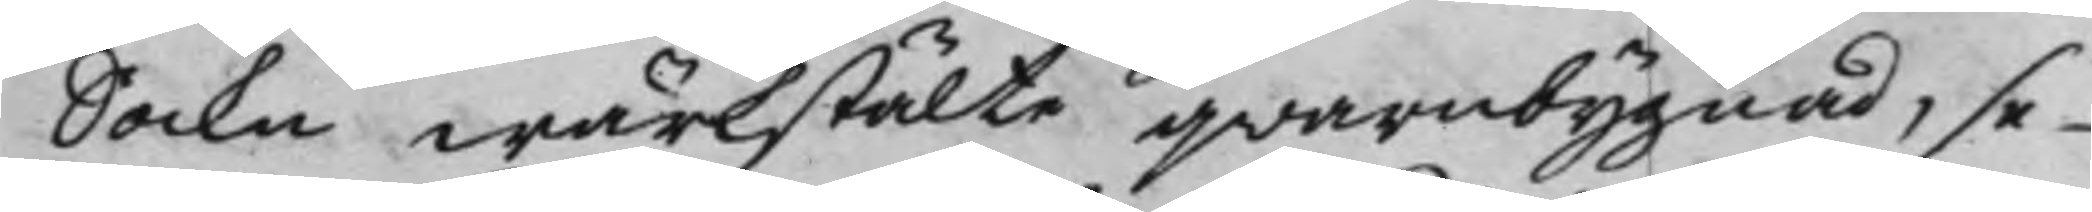Sockn wärkstälte qwarnbygnad, se¬
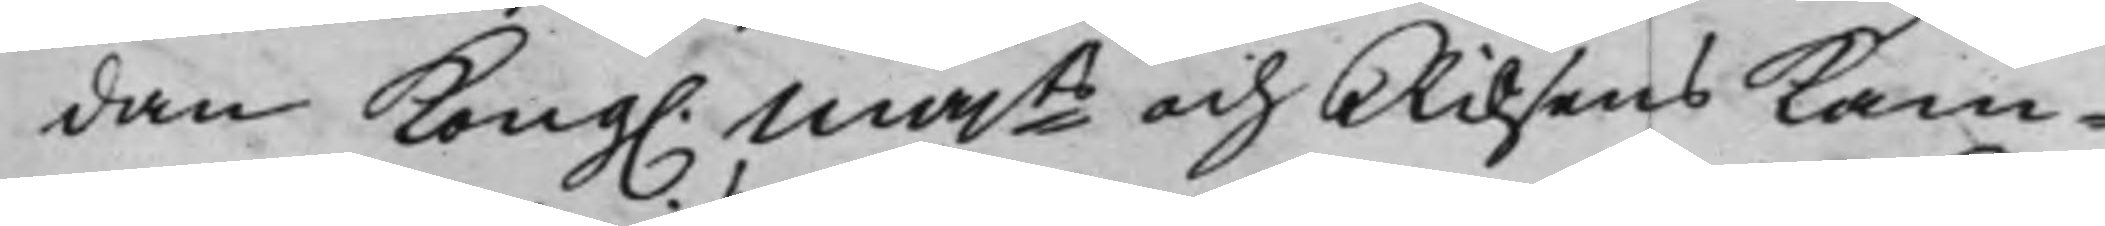dan Kong. Majts och Riksens Kam¬
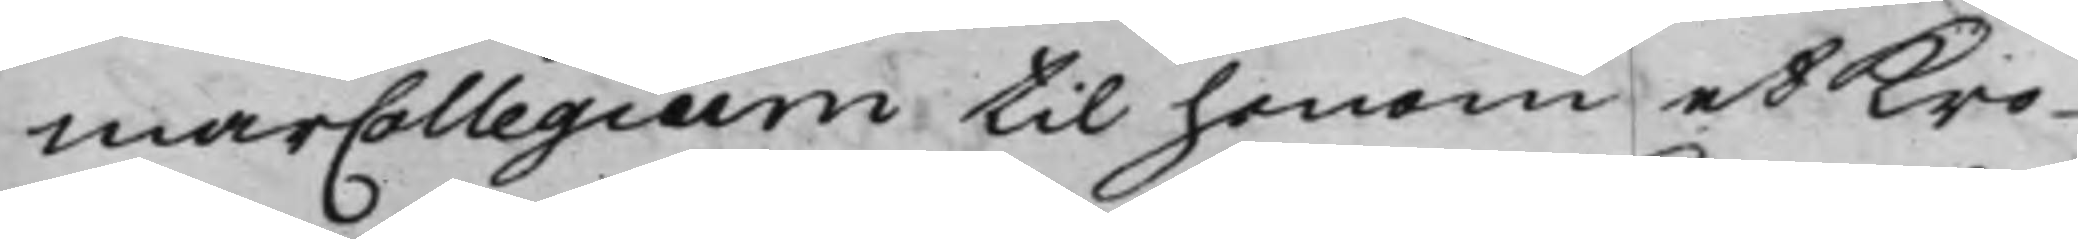marCollegium til honom et Kro¬
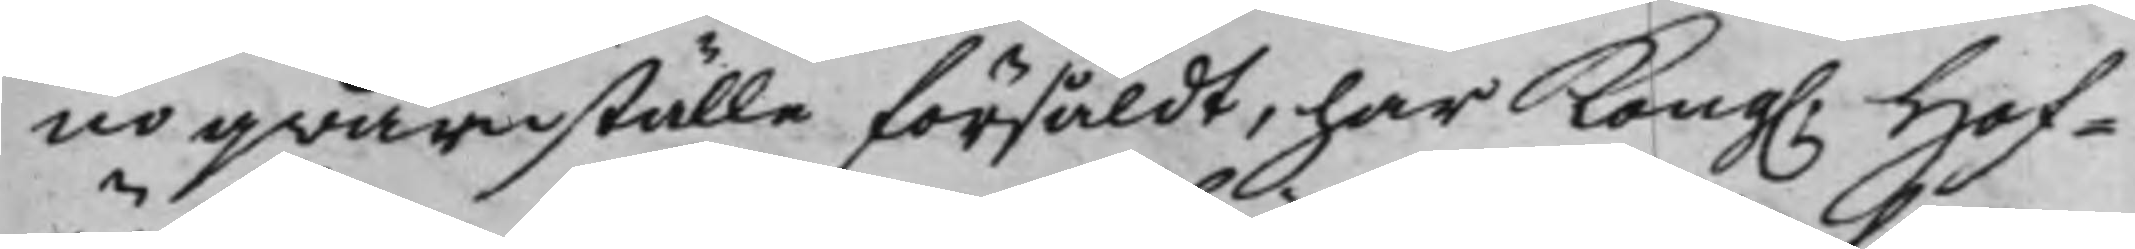no qwarnställe försåldt, har Kong. Hof¬
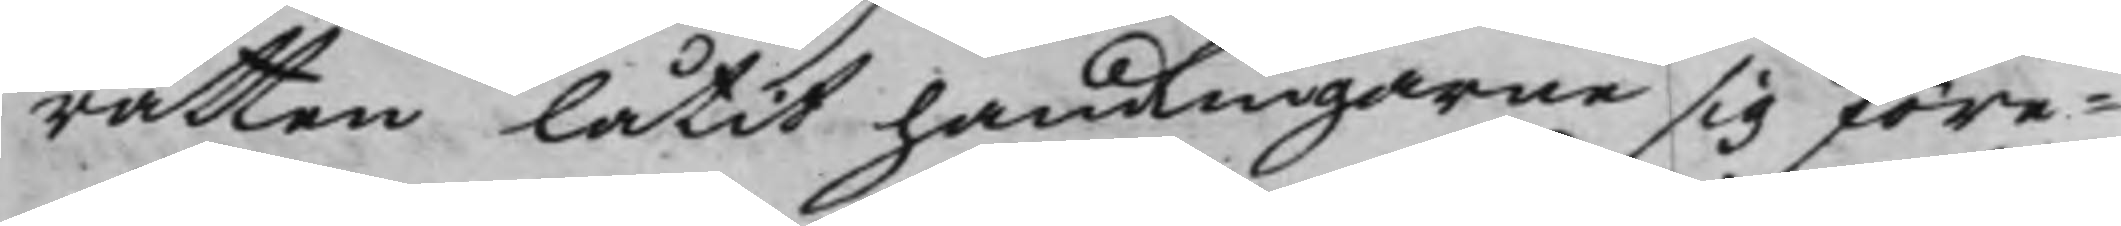rätten låtit handlingarne sig före¬
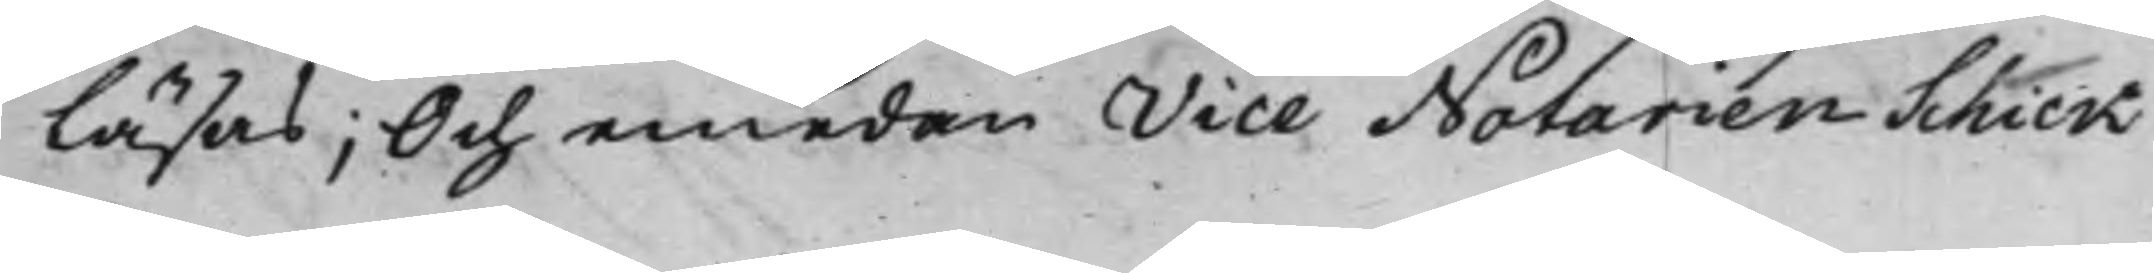läsas; Och emedan Vice Notarien Schick
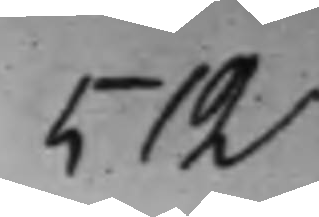512
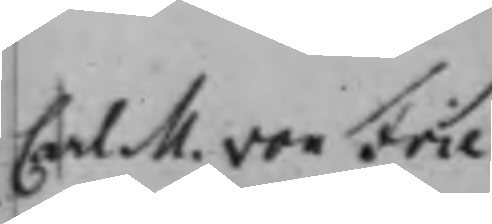Carl M. von Frie¬
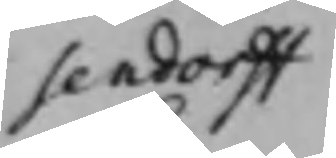sendorff
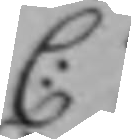C:
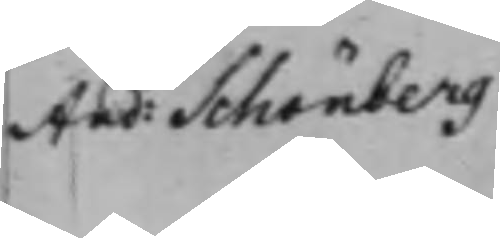And: Schönberg
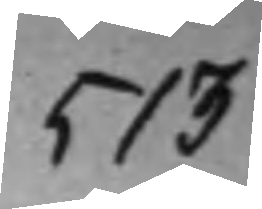513
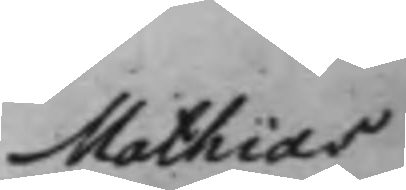Mathias 
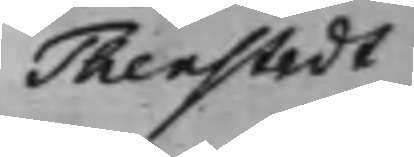Thenstedt
